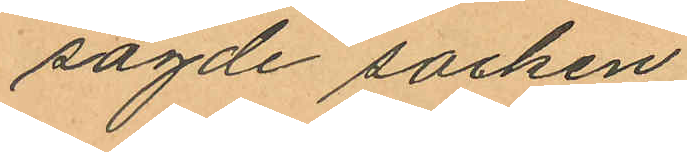sagde socken.
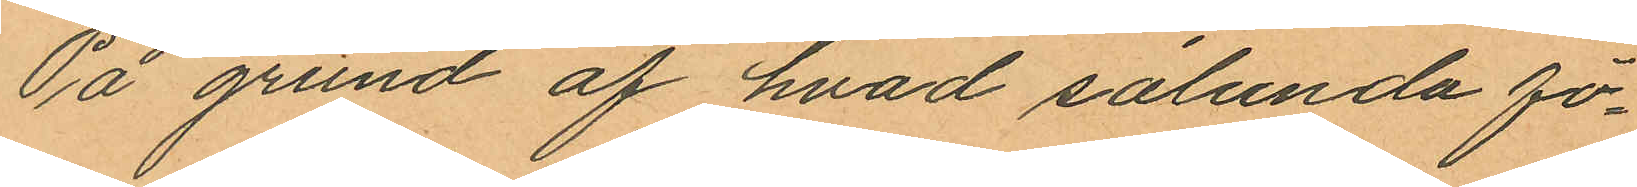På grund af hvad sålunda fö¬
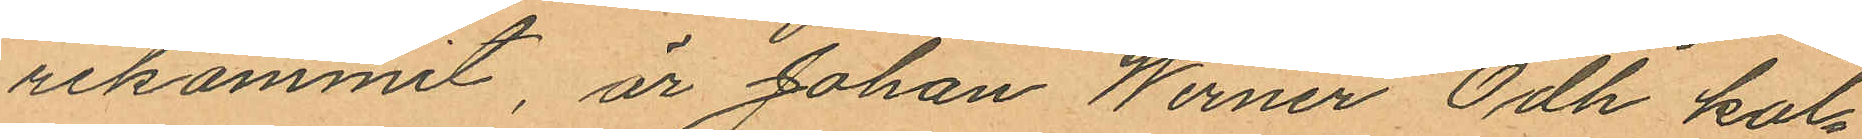rekommit är Johan Werner Odh kal¬
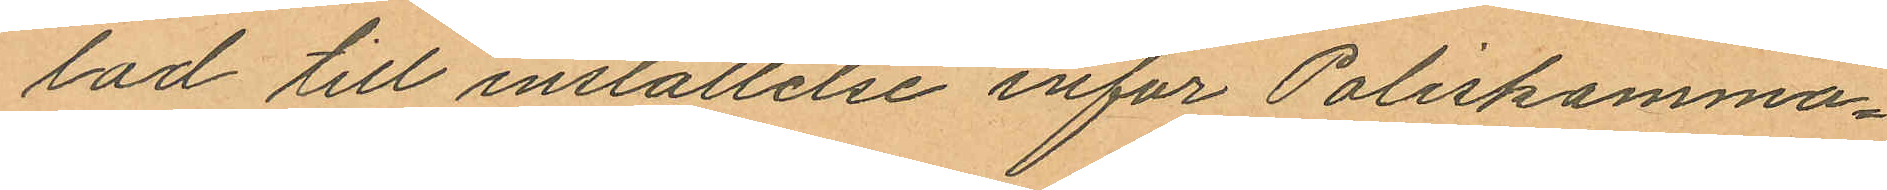lad till inställelse inför Poliskamma¬
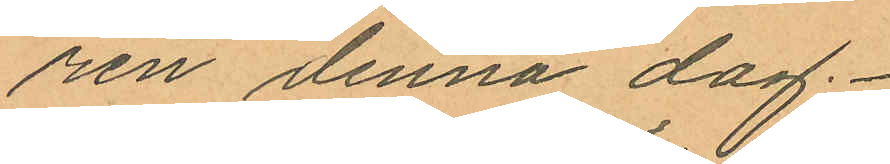ren denna dag.
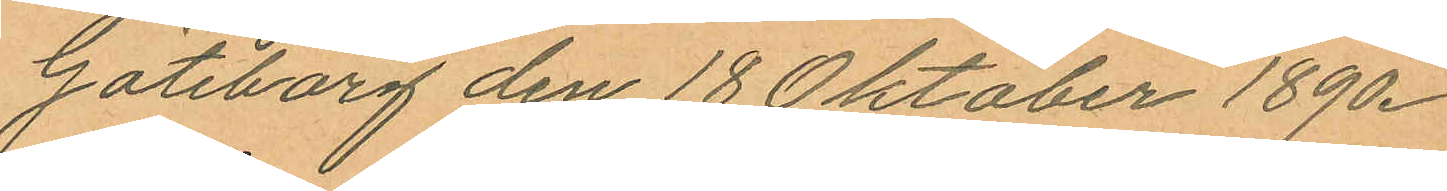Göteborg den 18 Oktober 1890.
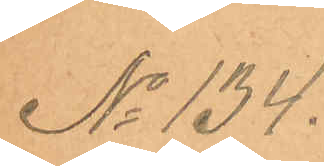No 134.
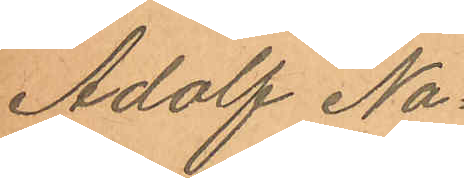Adolf Na¬
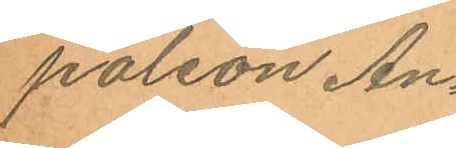poleon An¬
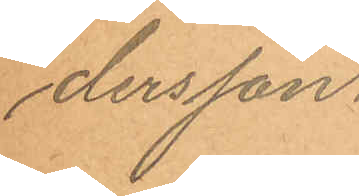dersson.
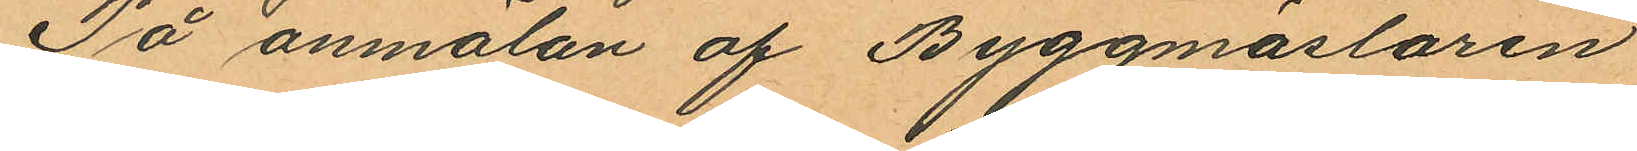På anmälan af Byggmästaren
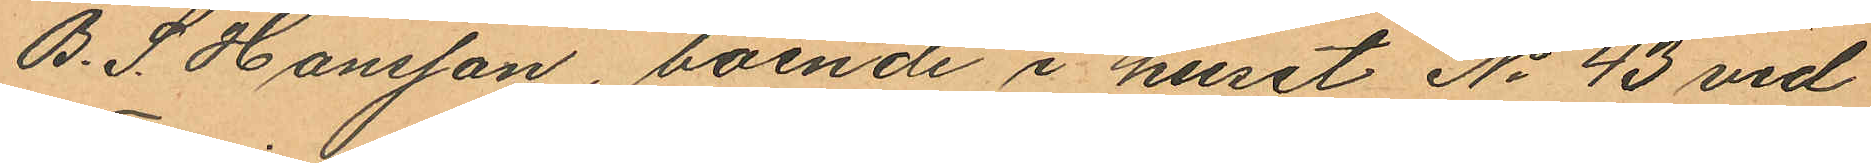B. S. Hansson, boende i huset No 43 vid
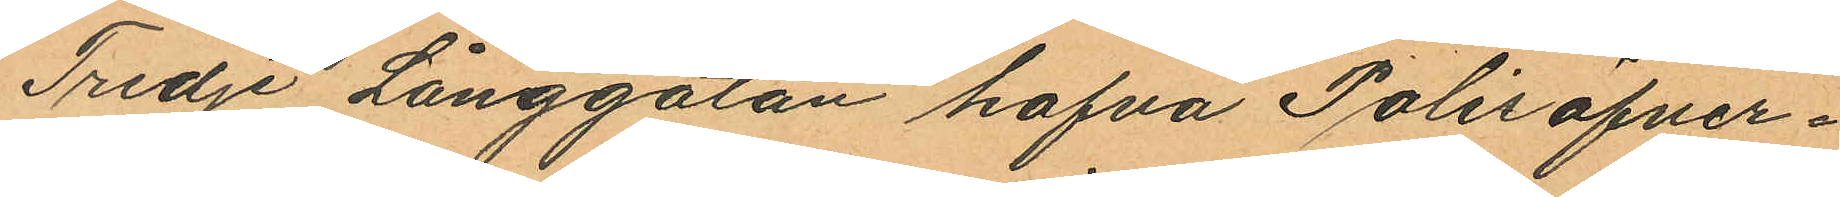Tredje Långgatan hafva Polisöfver¬
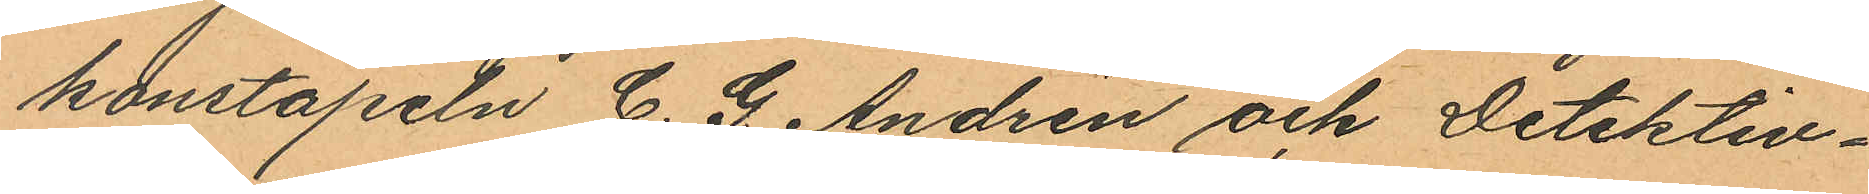konstapeln C. G. Andrén och Detektiv¬
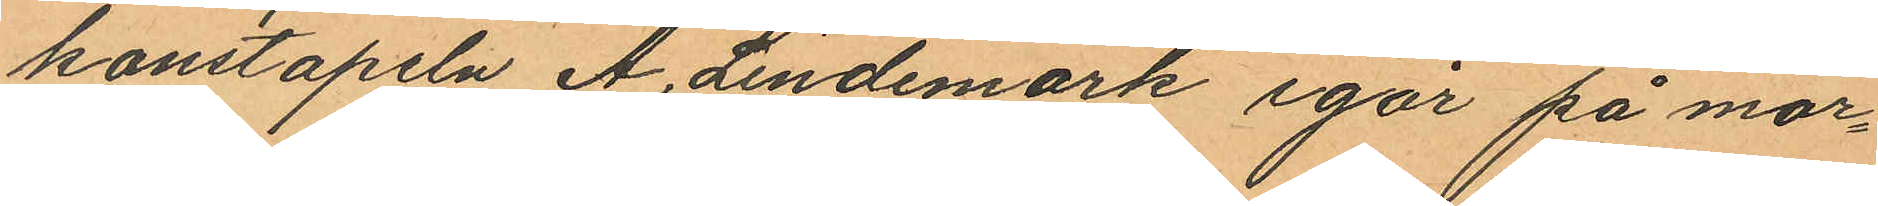konstapeln A. Lindemark igår på mor¬
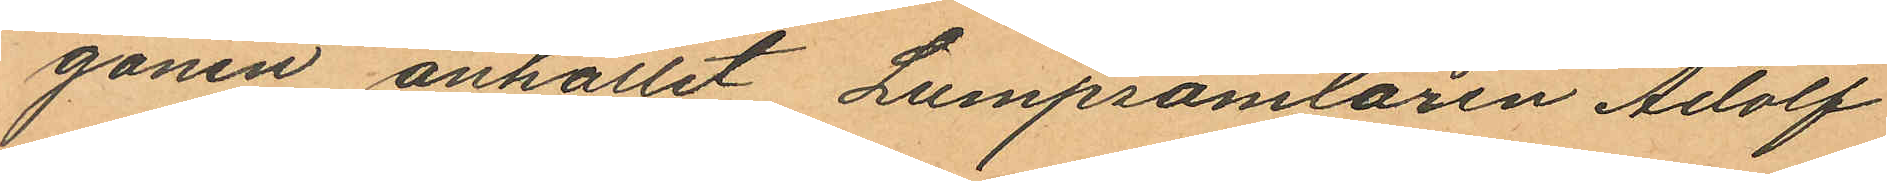gonen anhållit Lumpsamlaren Adolf
